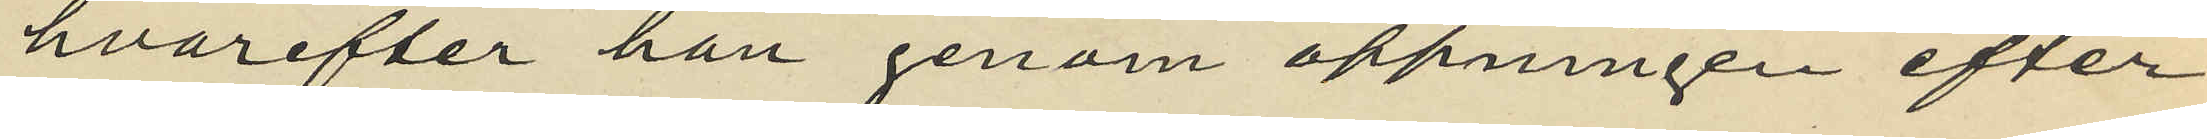hvarefter han genom öppningen efter
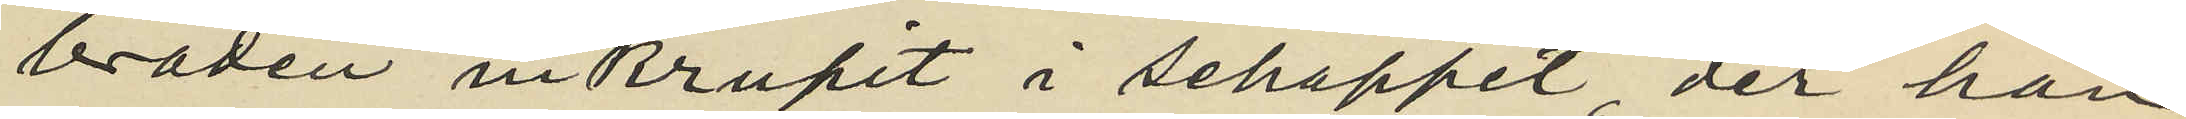brädan inkrupit i schappet, der han
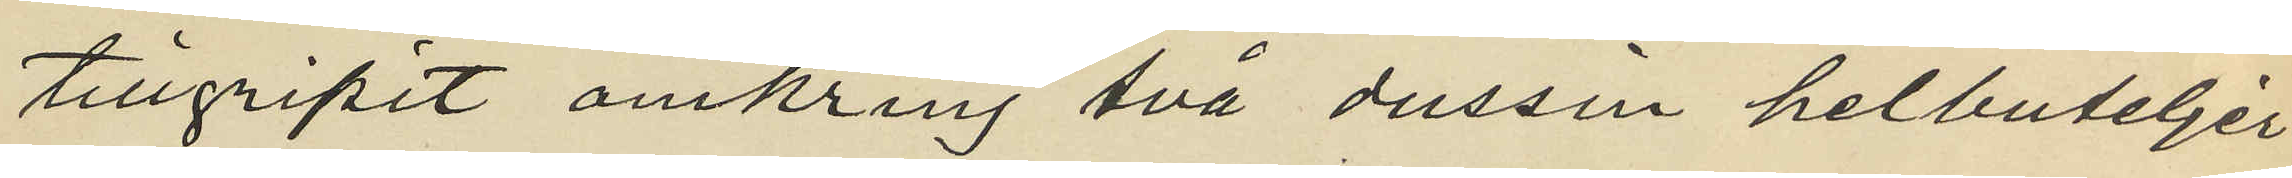tillgripit omkring två dussin helbuteljer
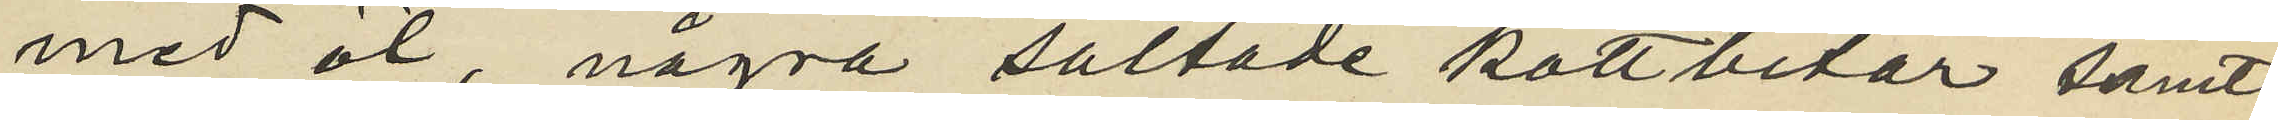med öl, några saltade köttbitar samt
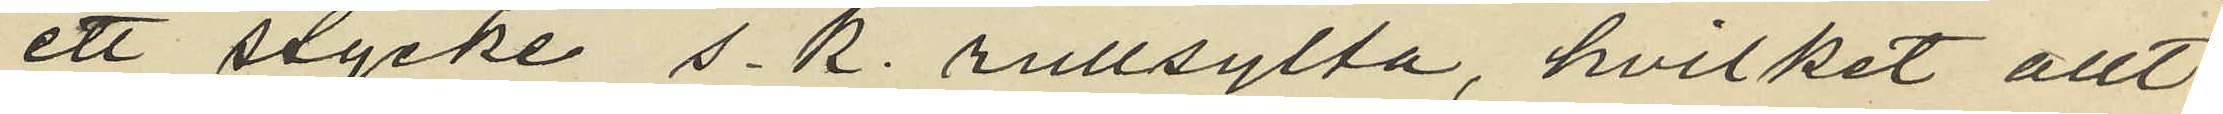ett stycke s.k. rullsylta, hvilket allt
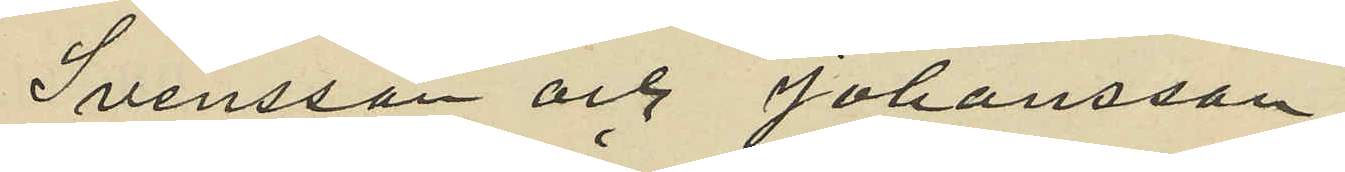Svensson och Johansson
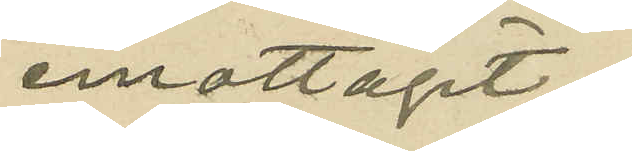emottagit
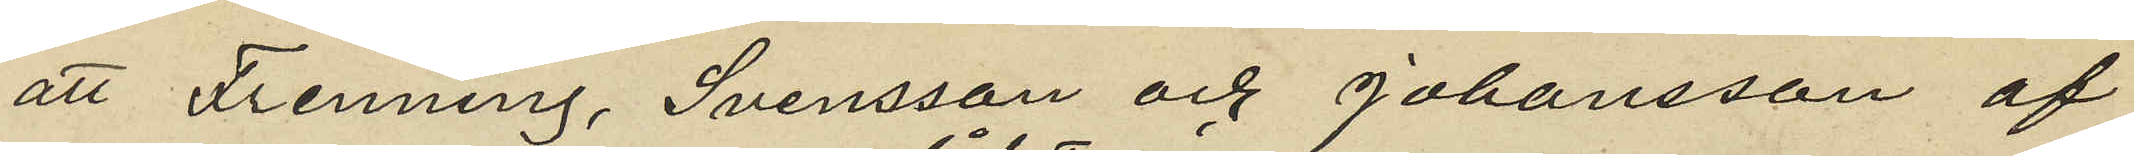att Fenning, Svensson och Johansson af
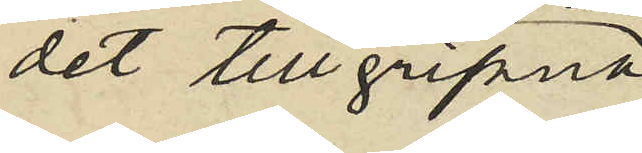det tillgripna
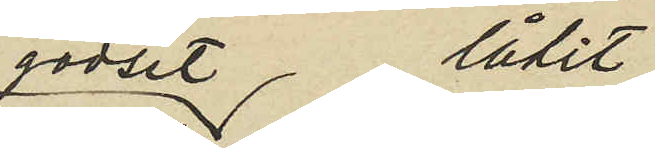godset låtit
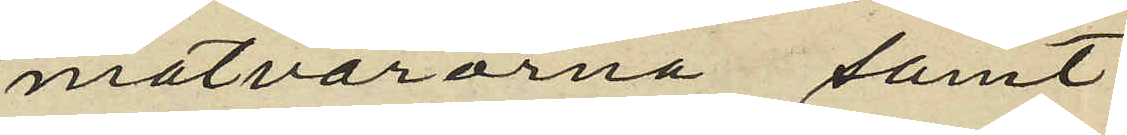matvarorna samt
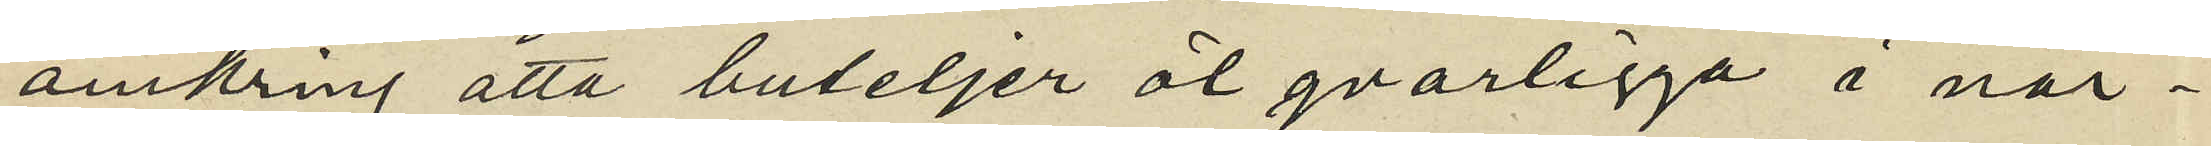omkring åtta buteljer öl qvarligga å när¬
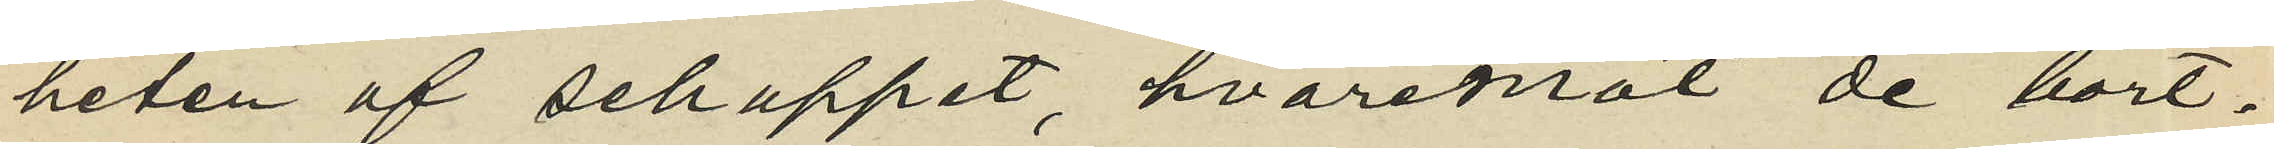heten af schappet hvaremot de bort¬
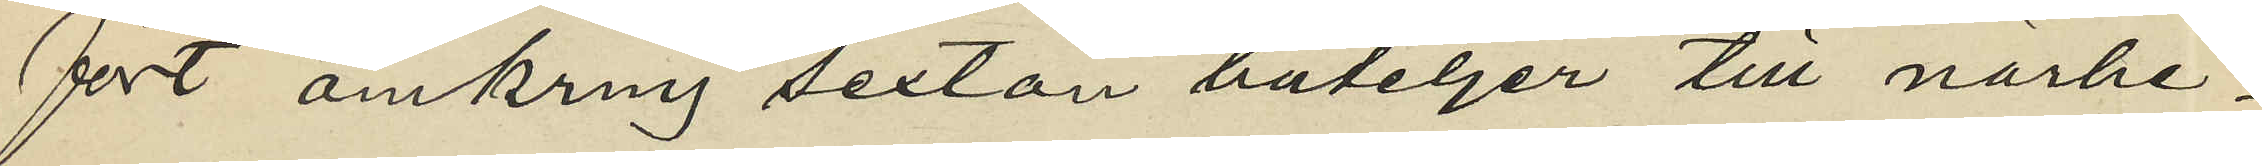fört omkring sexton buteljer till närhe¬
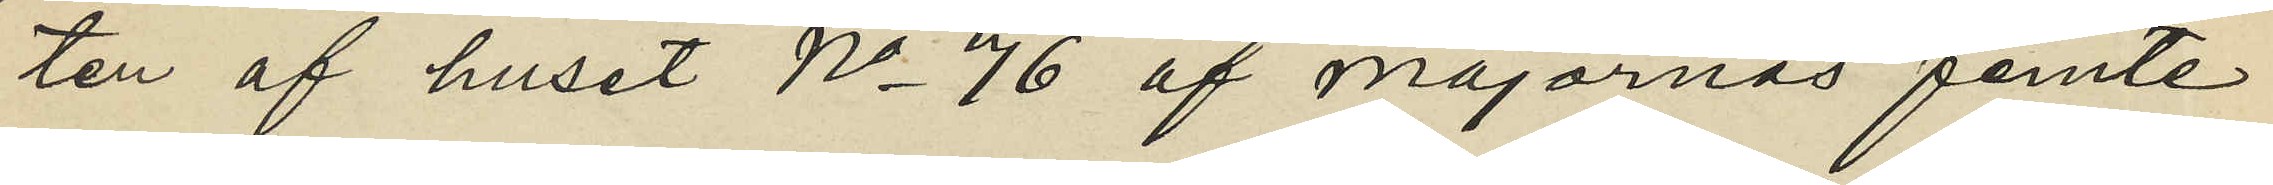ten af huset No 76 af majornas femte
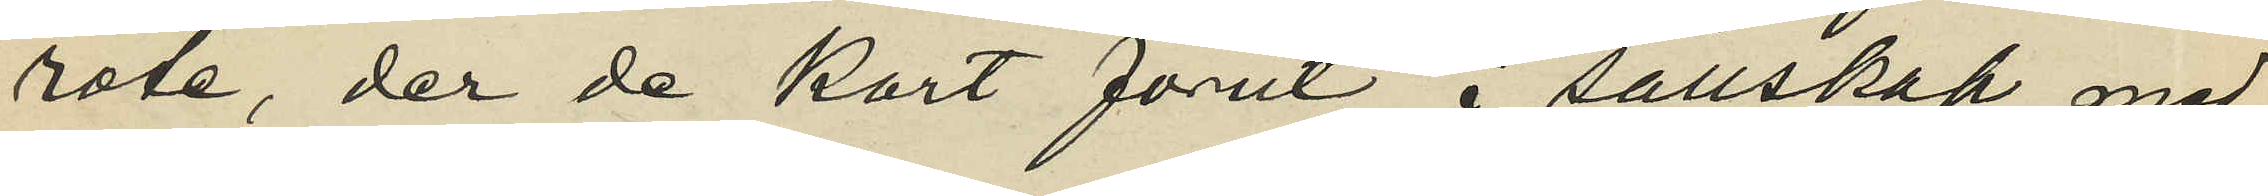rote, der de kort förut i sällskap med
